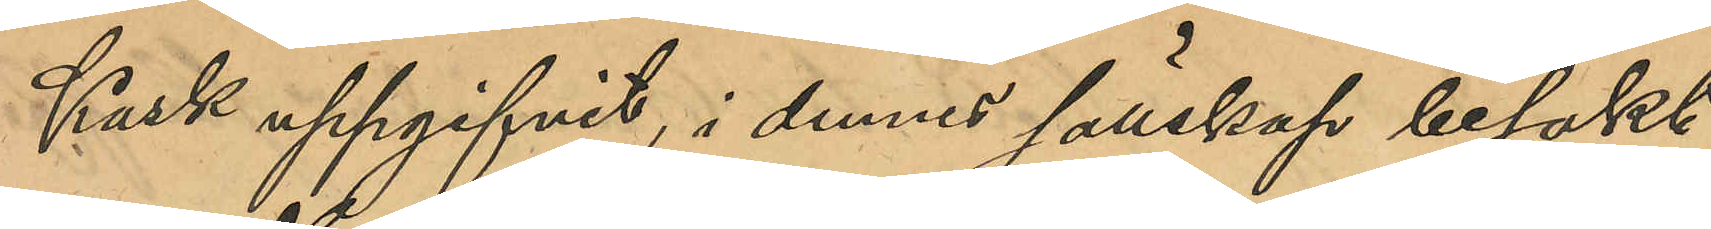Kask uppgifvit i dennes sällskap besökt
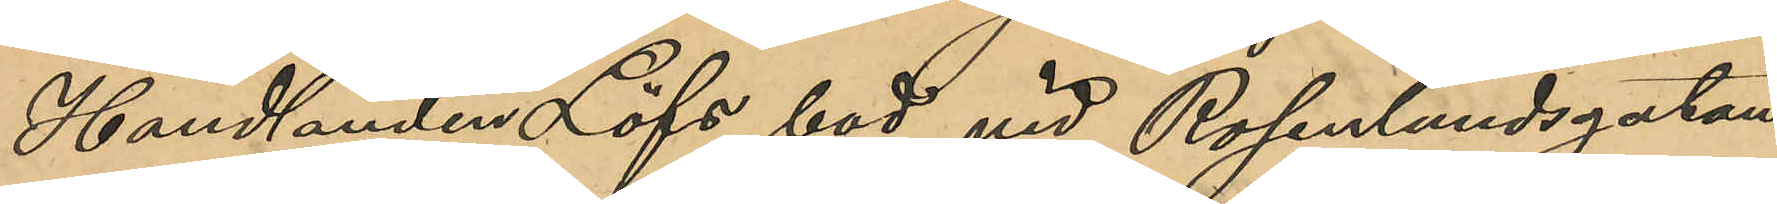Handlanden Löfs bod vid Rosenlundsgatan
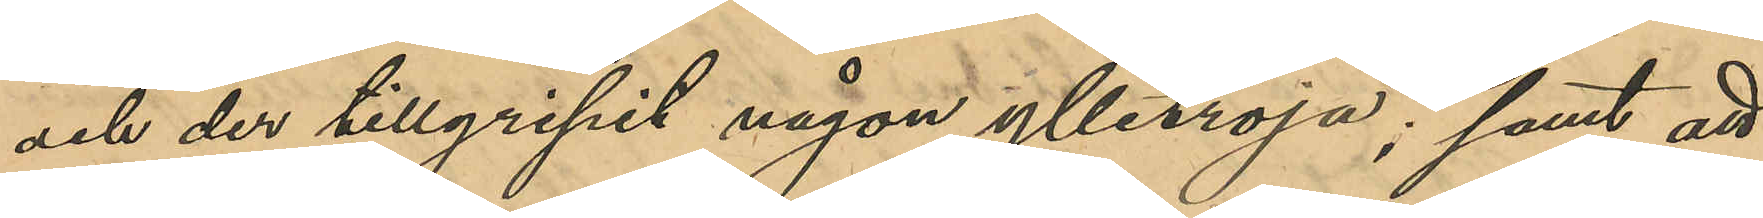och der tillgripit någon ylletröja; samt att
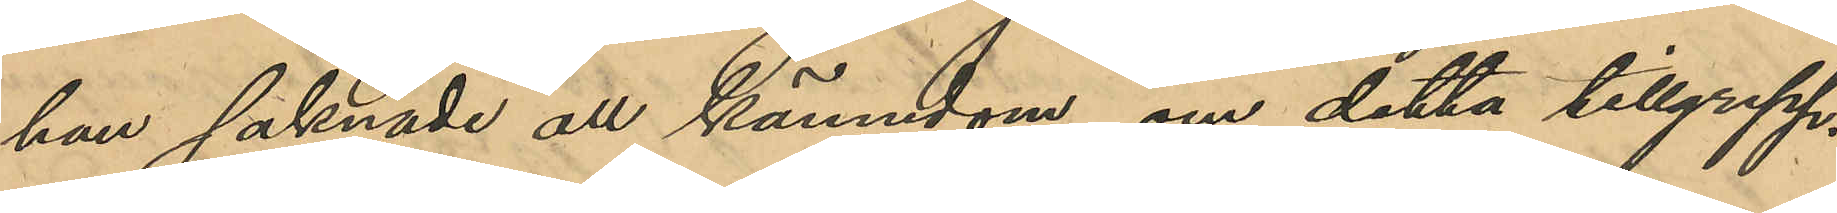han saknade all kännedom om detta tillgrepp.
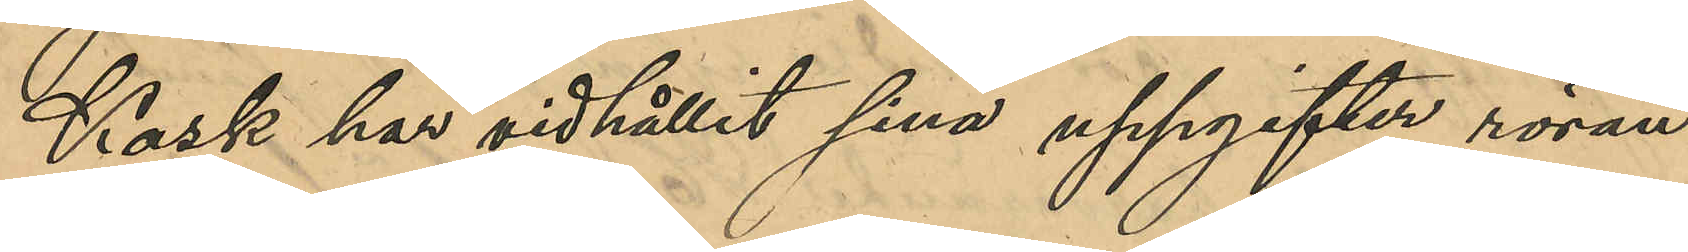Kask har vidhållit sina uppgifter röran¬
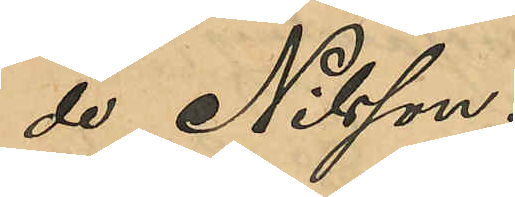de Nilsson.
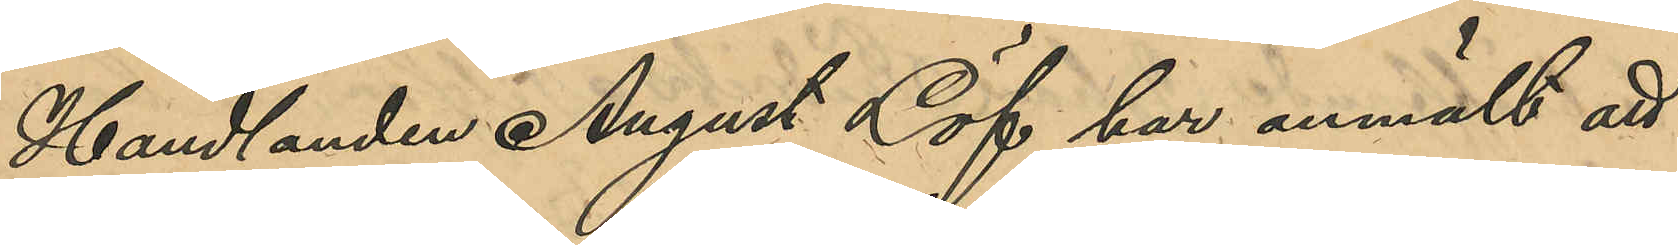Handlanden August Löf har anmält att
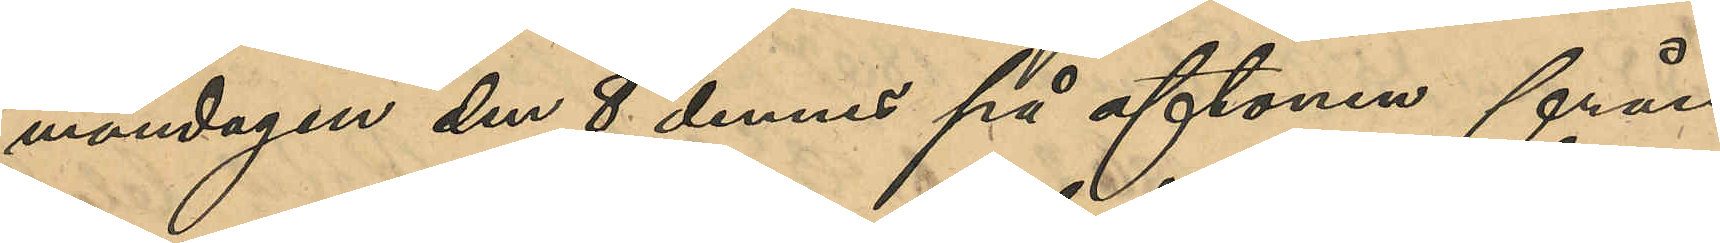måndagen den 8 dennes på aftonen från
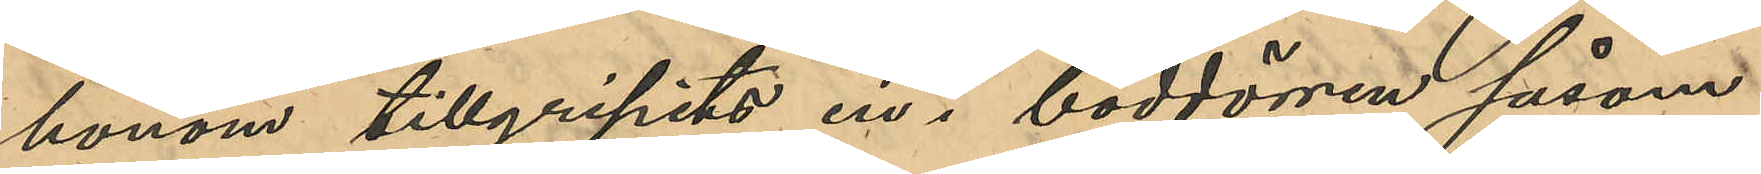honom tillgripits en i boddörren såsom
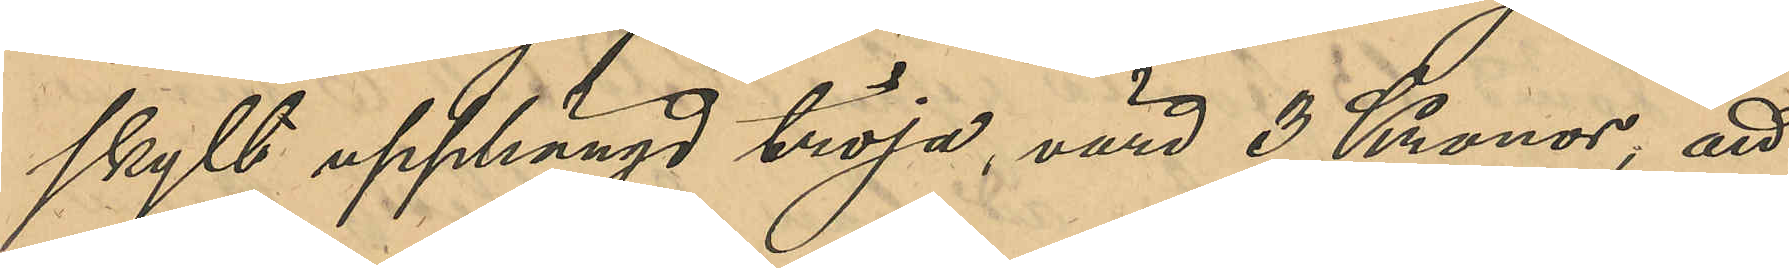skylt upphängd tröja, värd 3 Kronor, att
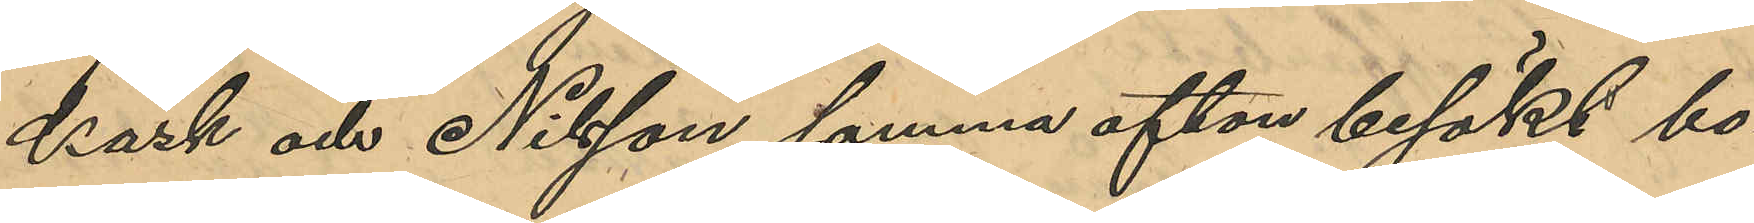Kask och Nilsson samma afton besökt bo¬
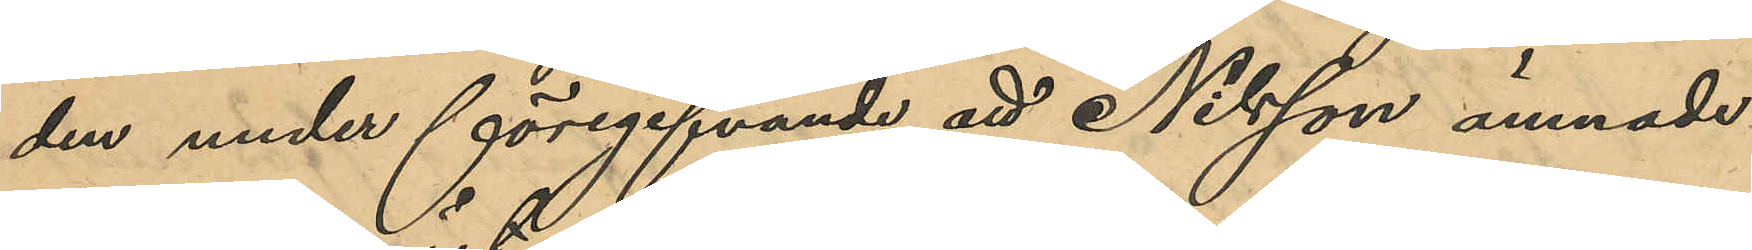den under föregifvande att Nilsson ämnade
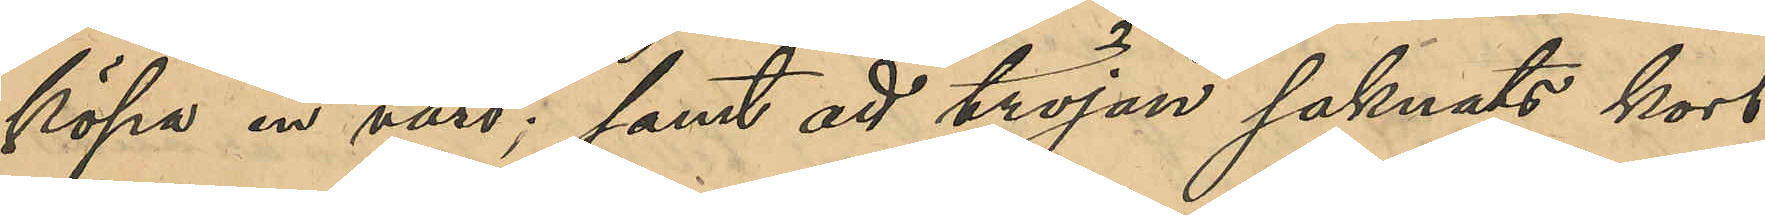köpa en väst; samt att tröjan saknats kort
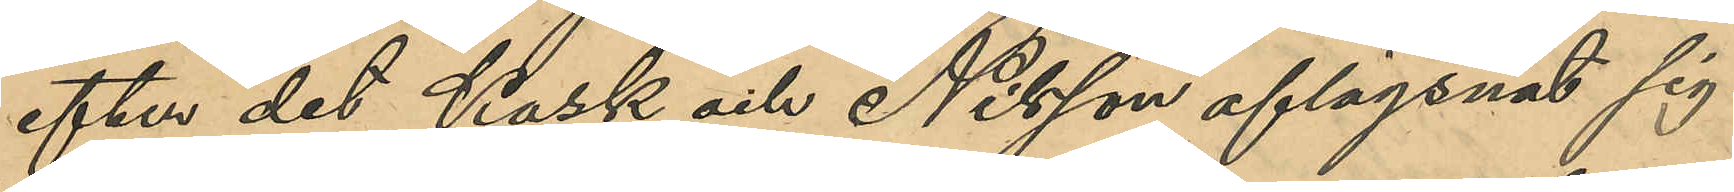efter det Kask och Nilsson aflägsnat sig.
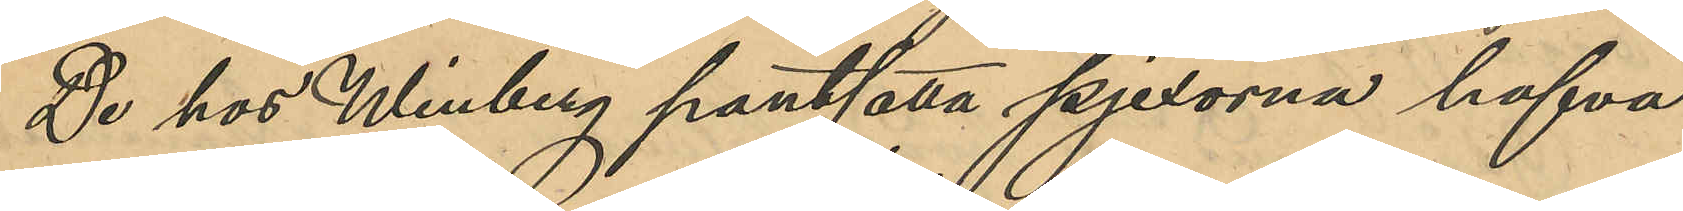De hos Winberg pantsatta pjexorna hafva
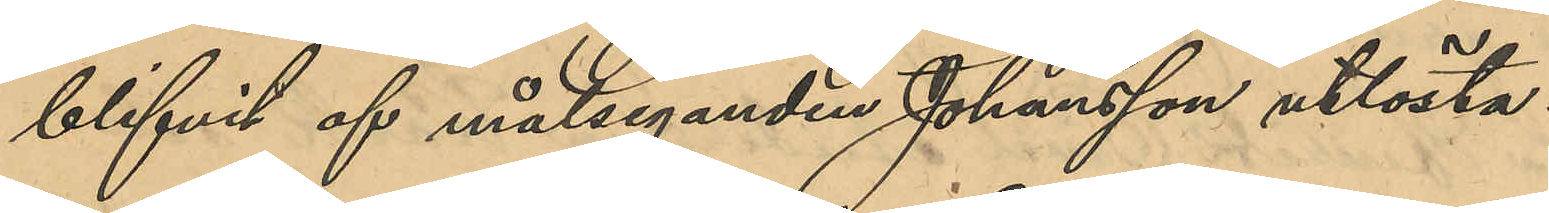blifvit af målseganden Johansson utlösta.
